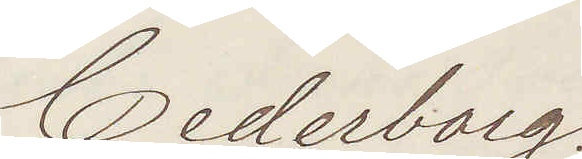Cederborg.
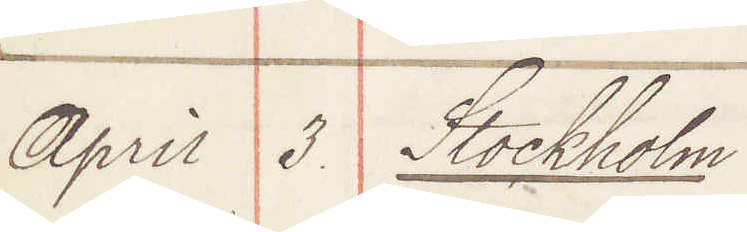April 3. Stockholm
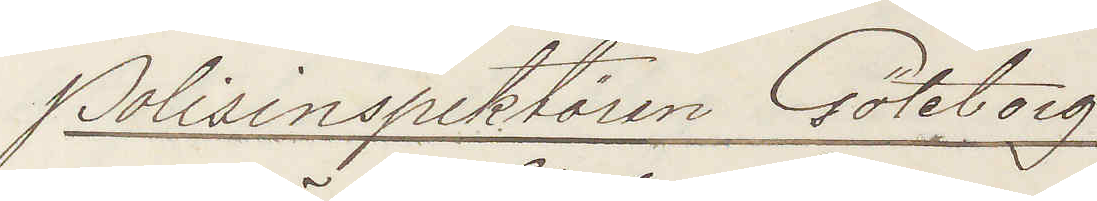Polisinspektören Göteborg
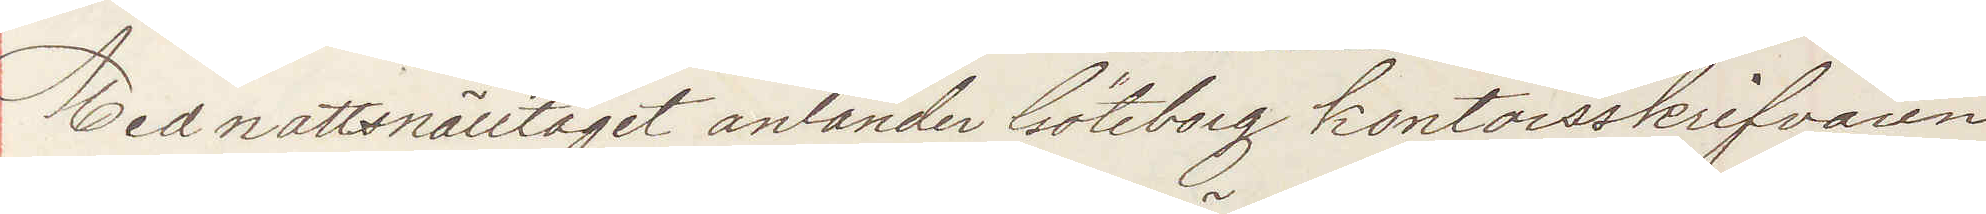Med nattsnälltåget anländer Göteborg kontorsskrifvaren
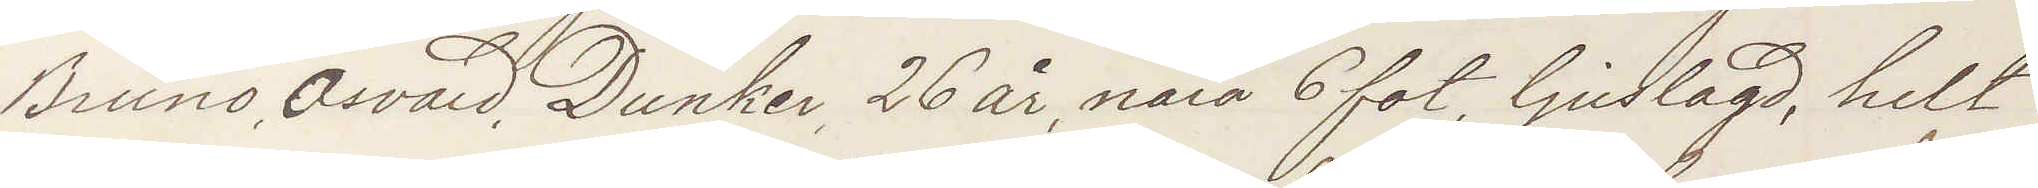Bruno Osvald Dunker, 26 år, nära 6 fot, ljuslagd, helt
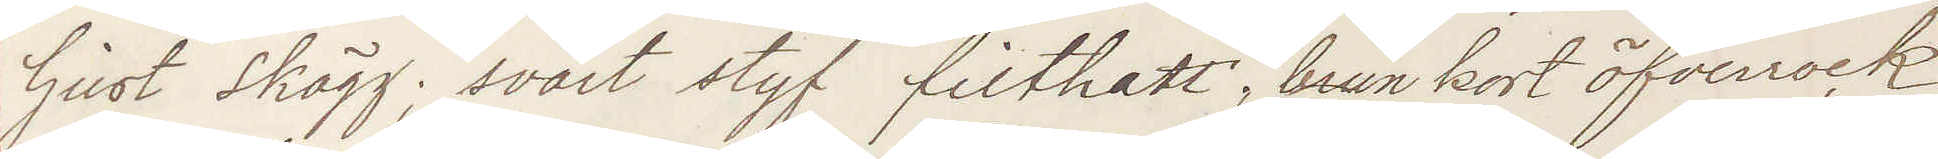ljust skägg; svart styf filthatt, brun kort öfverrock.
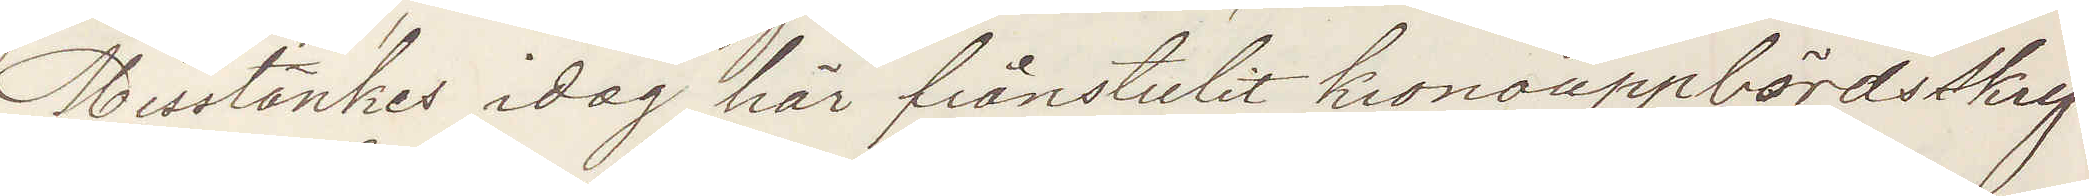Misstänkes idag här frånstulit kronouppbördsskrif¬
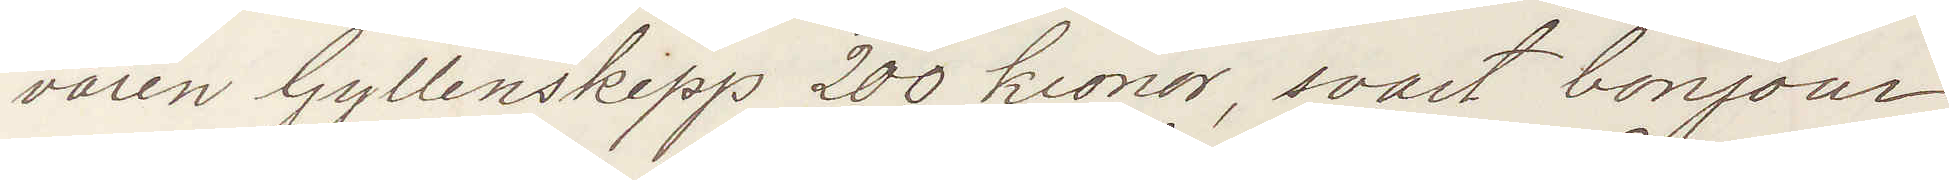varen Gyllenskepp 200 kronor, svart bonjour,
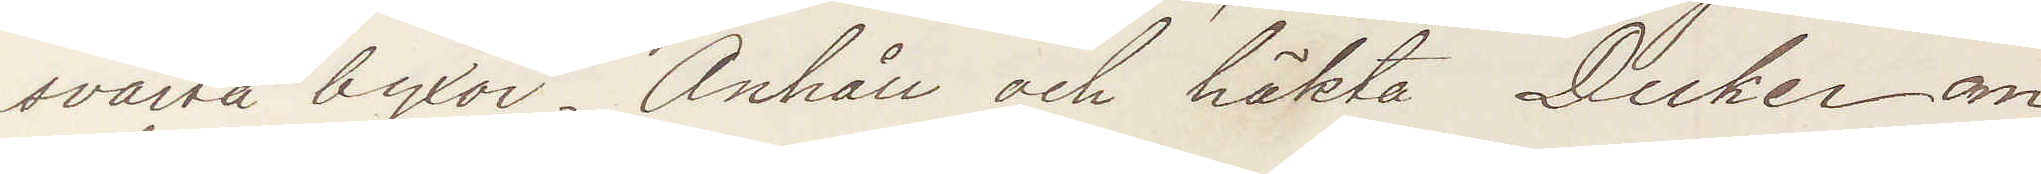svarta byxor. Anhåll och häkta Duker om
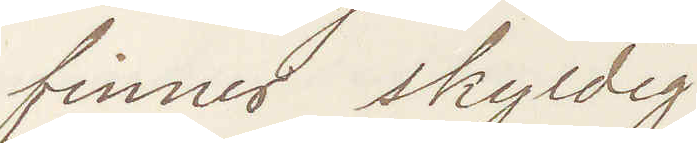finnes skyldig.
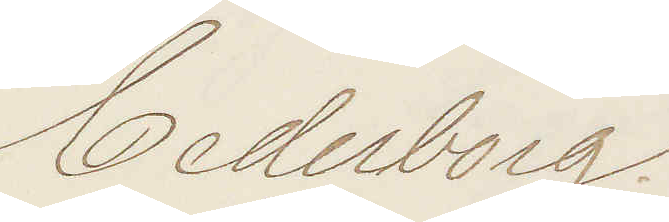Cederborg.
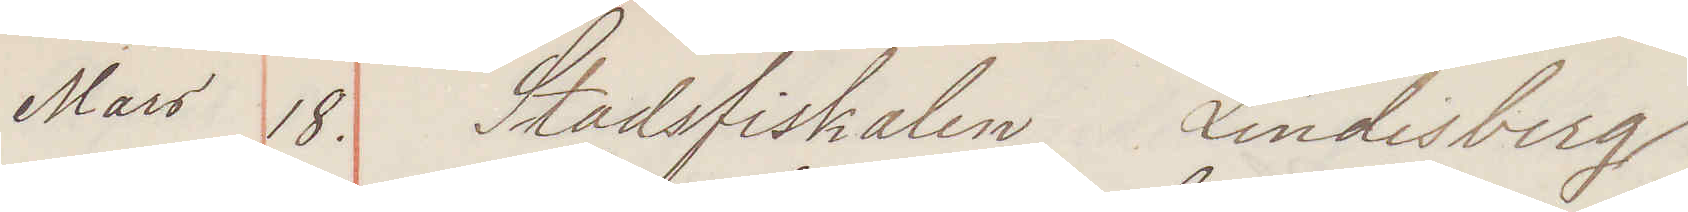Mars 18. Stadsfiskalen Lindesberg
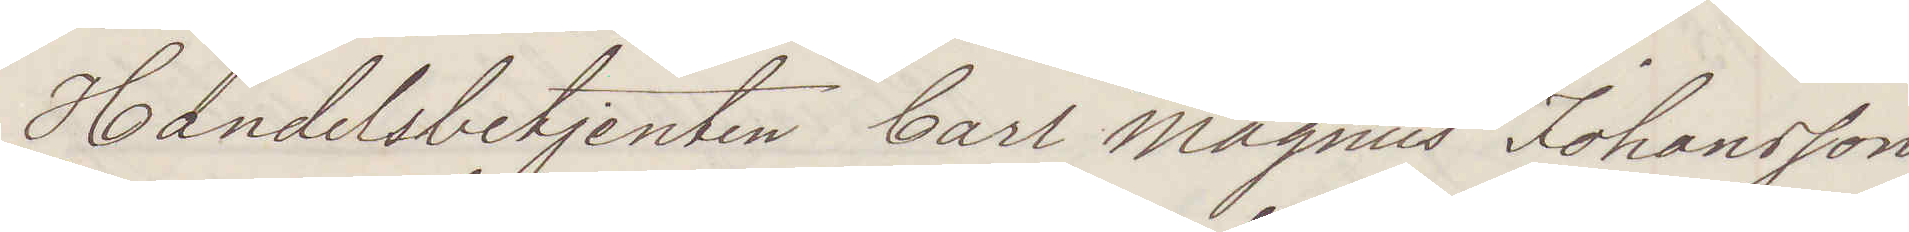Handelsbetjenten Carl Magnus Johansson
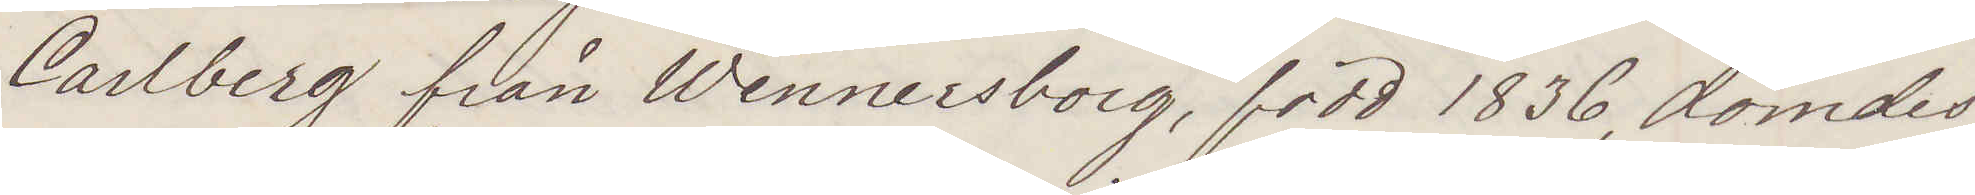Carlberg från Wennersborg född 1836, dömdes
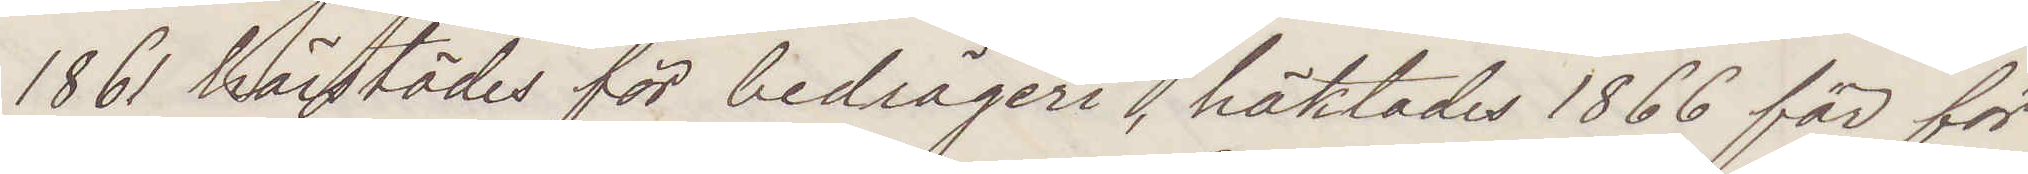1861 härstädes för bedrägeri, häktades 1866 för för¬
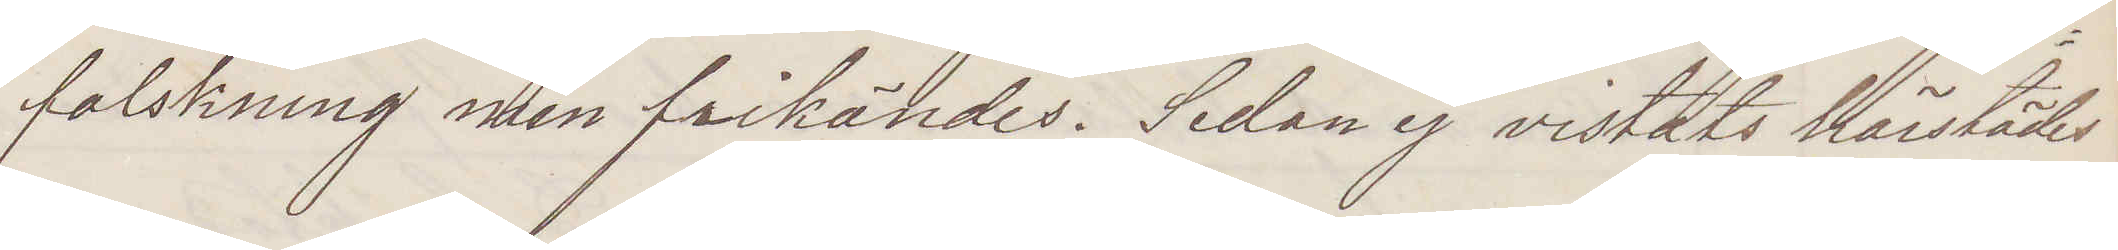falskning men frikändes. Sedan ej vistats härstädes
